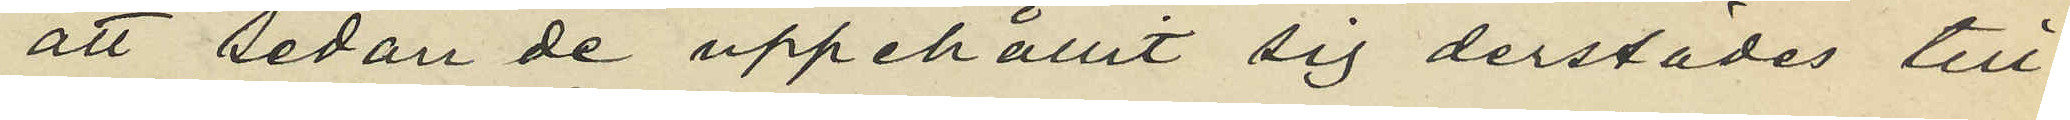att sedan de uppehållit sig derstädes till
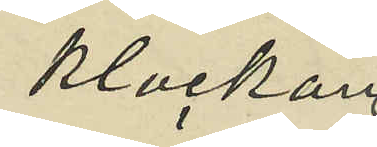klockar
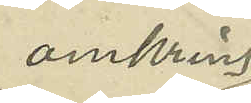omkring
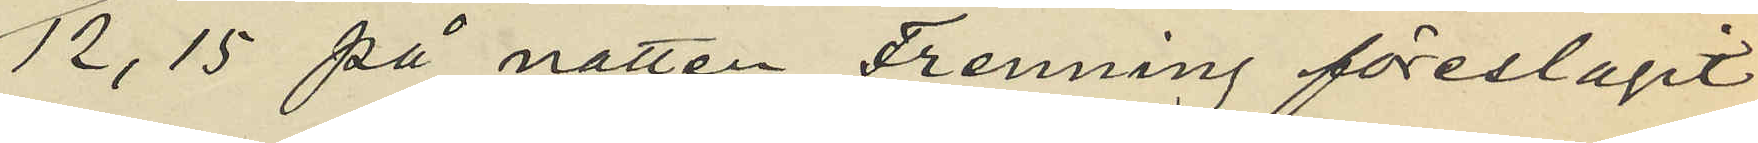12,15 på natten Frenning föreslagit
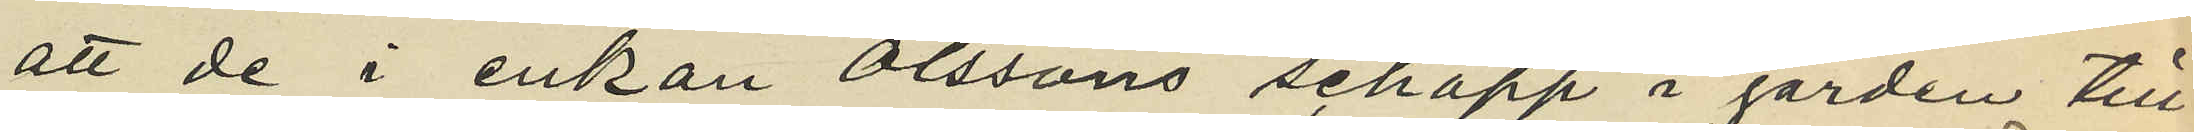att de i enkan Olssons schapp i gården till¬
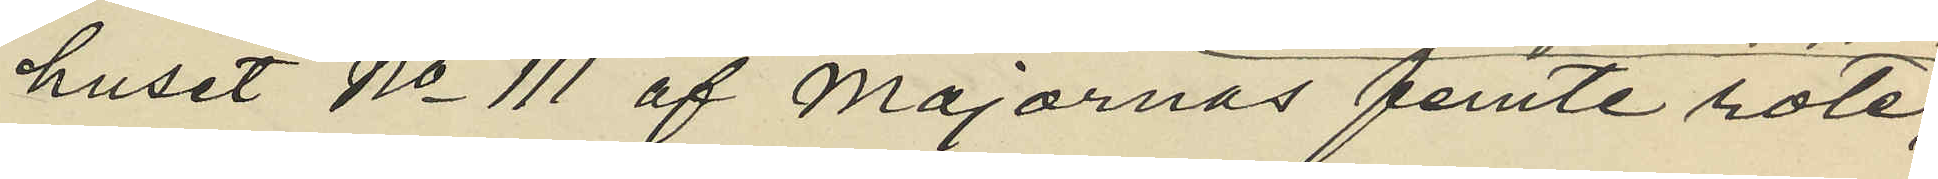huset No 111 af Majornas femte rote,
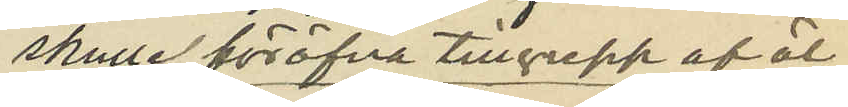skulle föröfva tillgrepp af öl
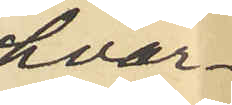hvar¬
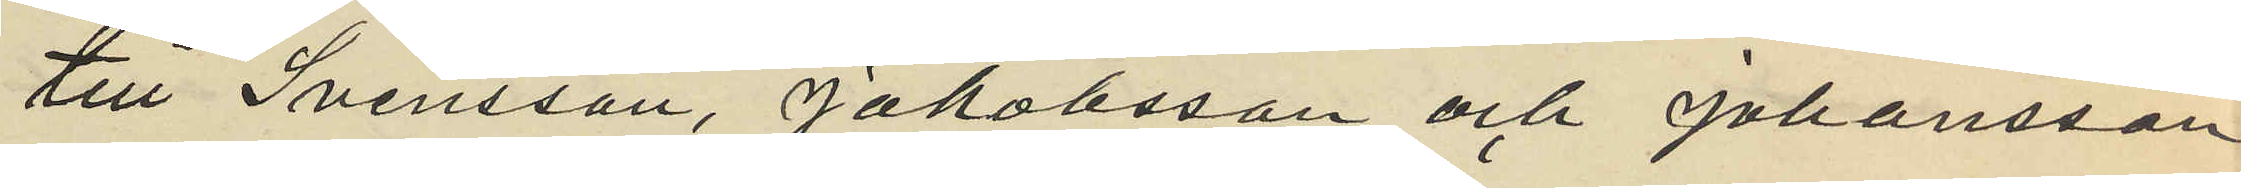till Svensson, Jakobsson och Johansson
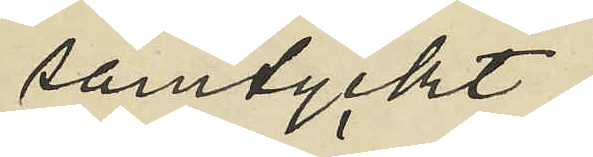samtyckt;
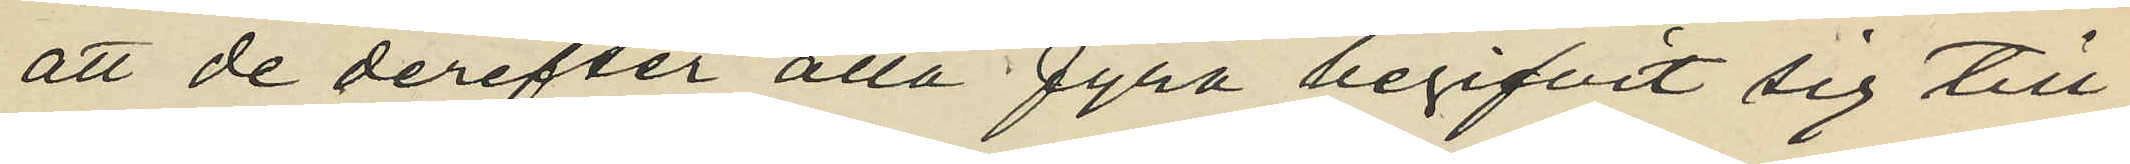att de derefter alla fyra begifvit sig till
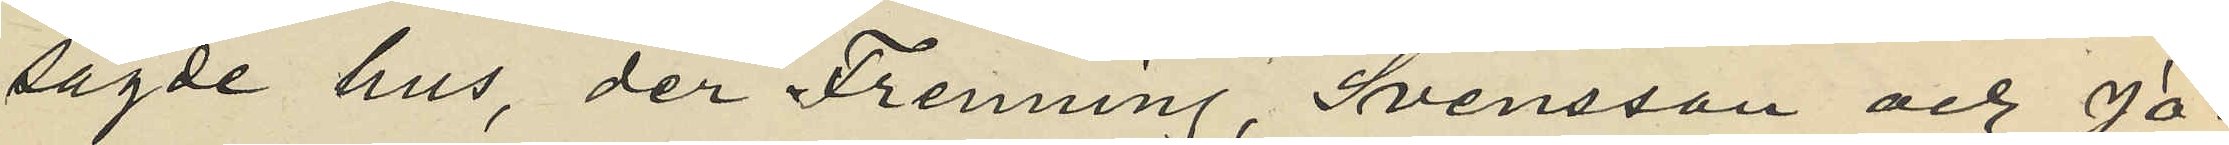sagde hus, der Frenning, Svensson och Jo¬
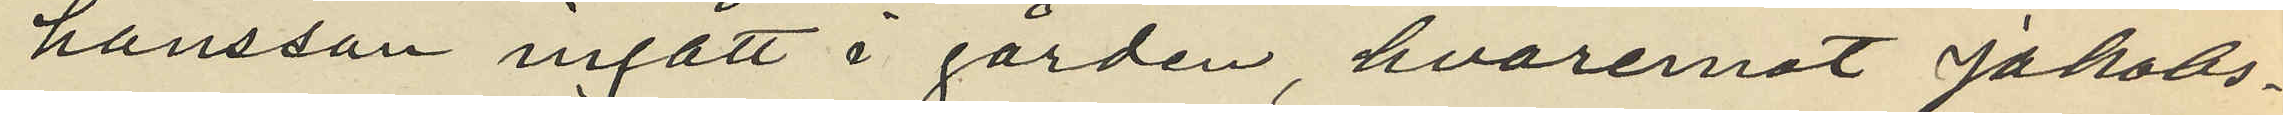hansson ingått i gården, hvaremot Jakobs¬
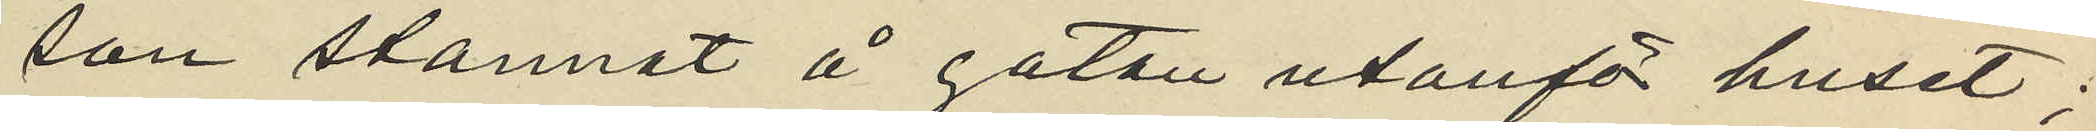son stannat å gatan utanför huset;
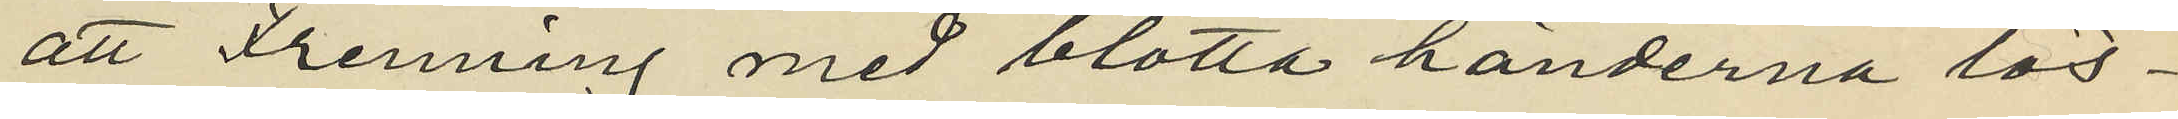att Frenning med blotta händerna lös¬
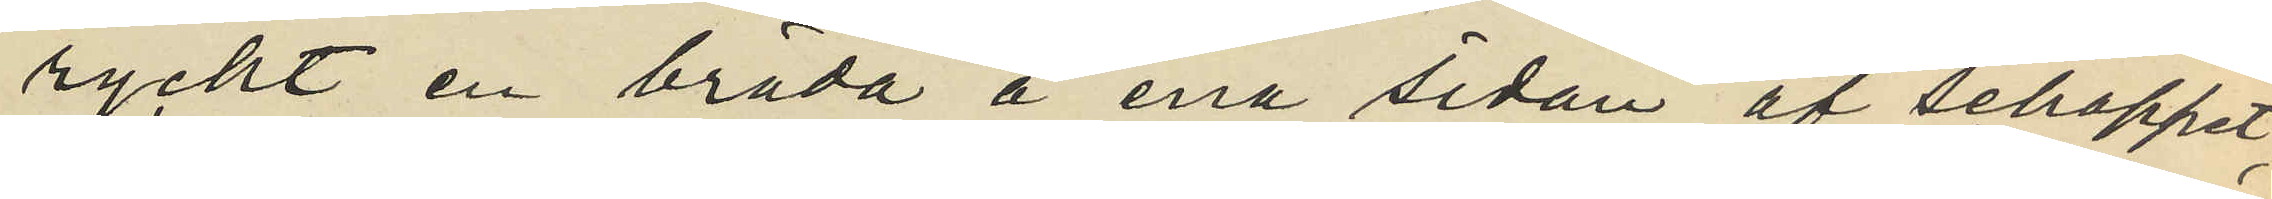ryckt en bräda å ena sidan af schappet,
